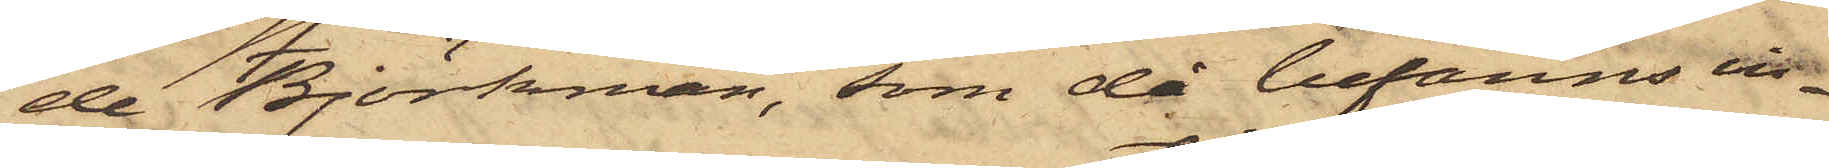de Björkman, som då befanns in¬
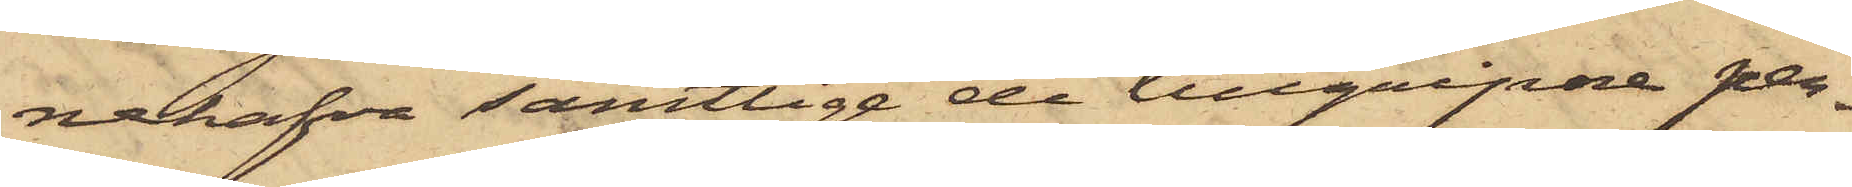nehafva samtlige de tillgripne per¬
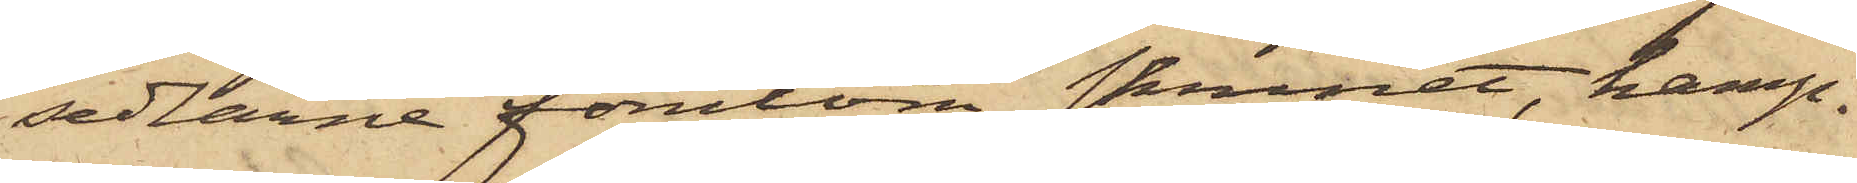sedlarne förutom skrinet, hamp¬
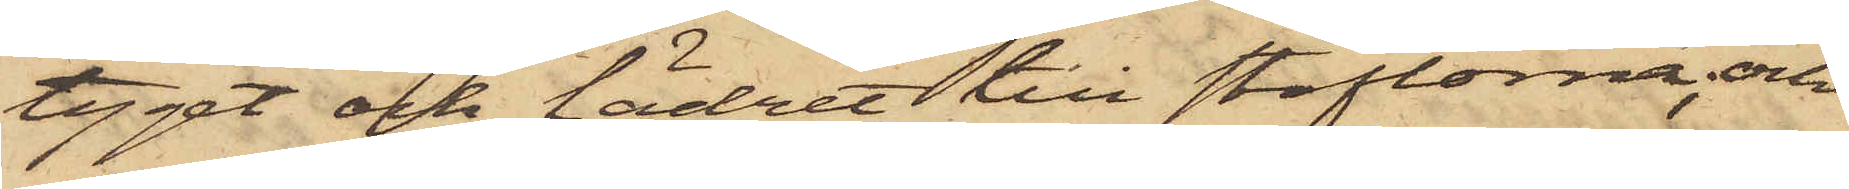tyget och lädret till stöflorna, och
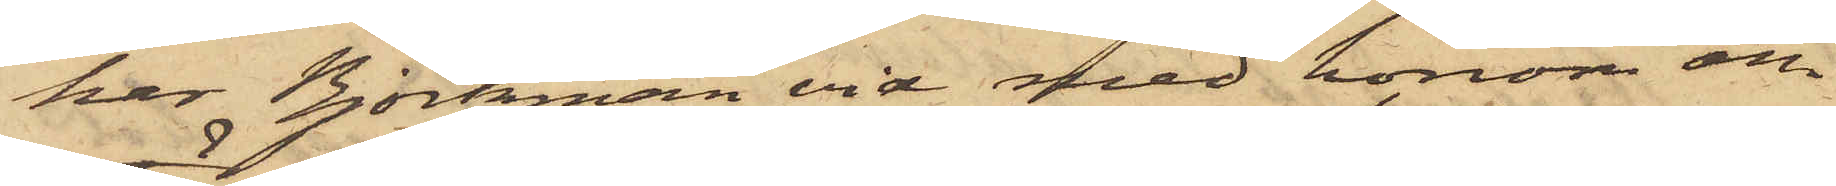har Björkman vid med honom om¬
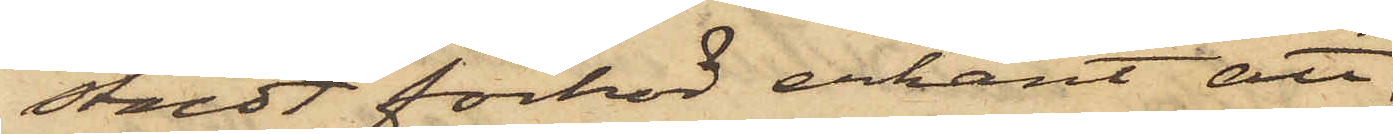stäldt förhör erkänt att
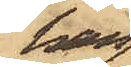han
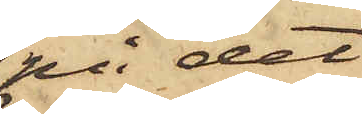på det
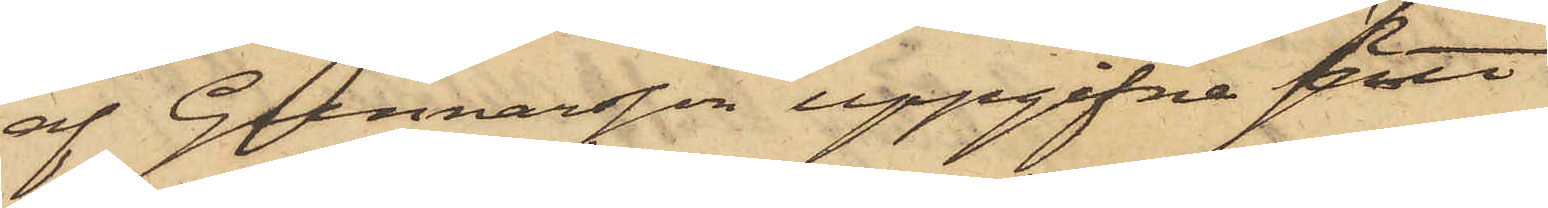af Gunnarsson uppgifna sätt
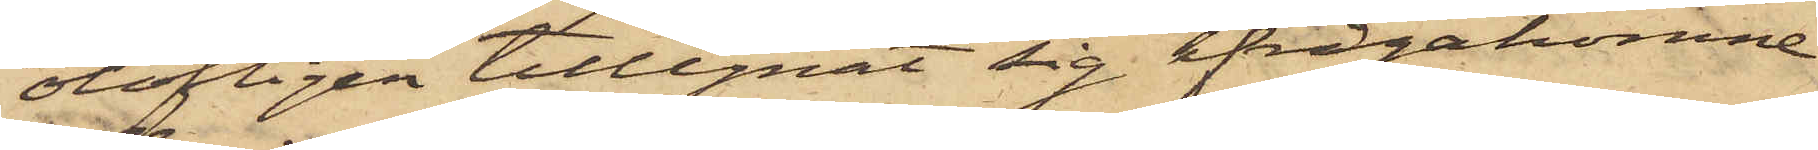olofligen tillegnat sig ifrågakomne
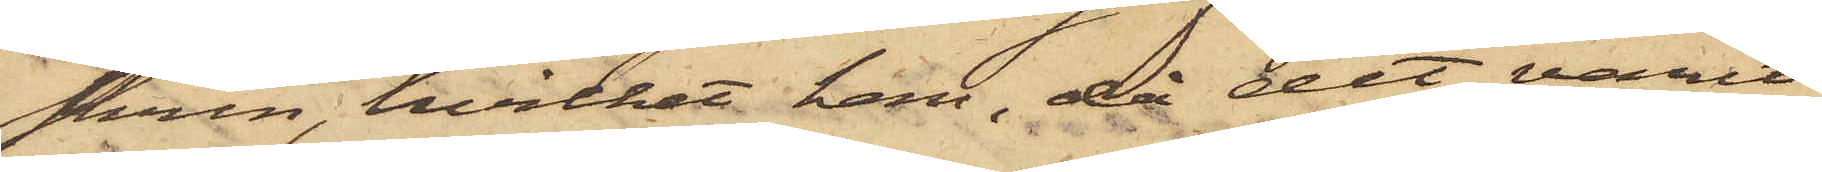skrin, hvilket han, då det varit
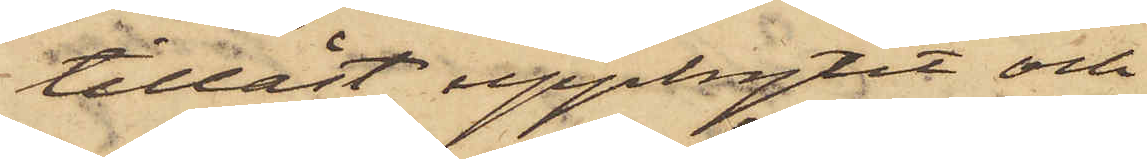tillåst, uppbrytit och
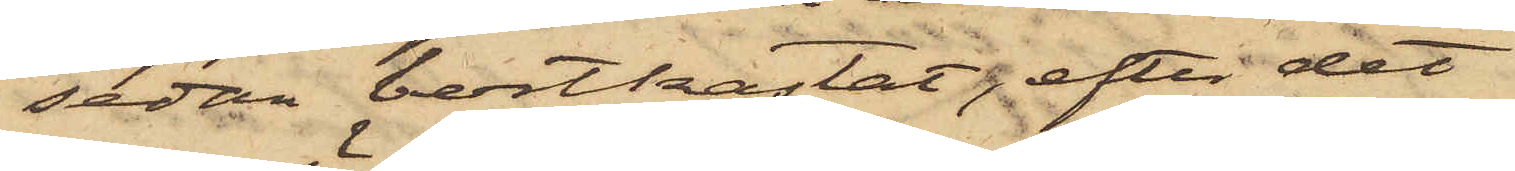sedan bortkastat; efter det
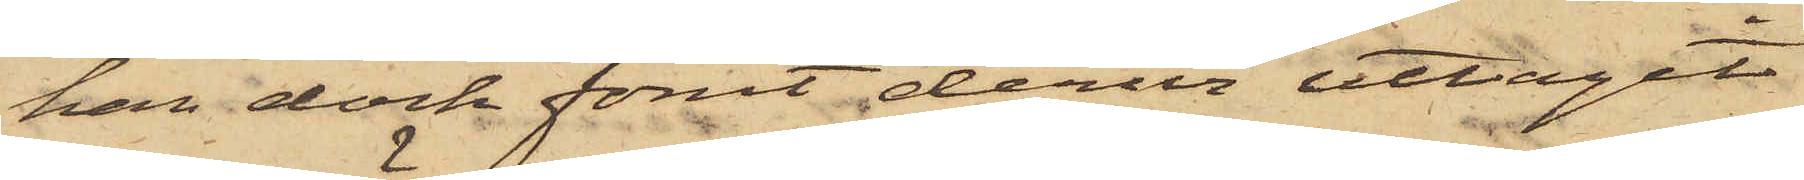han dock förut derur uttagit
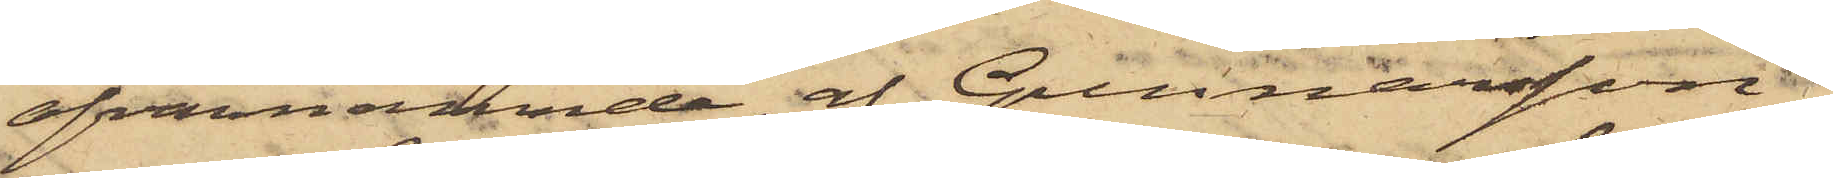ofvannämnde af Gunnarsson
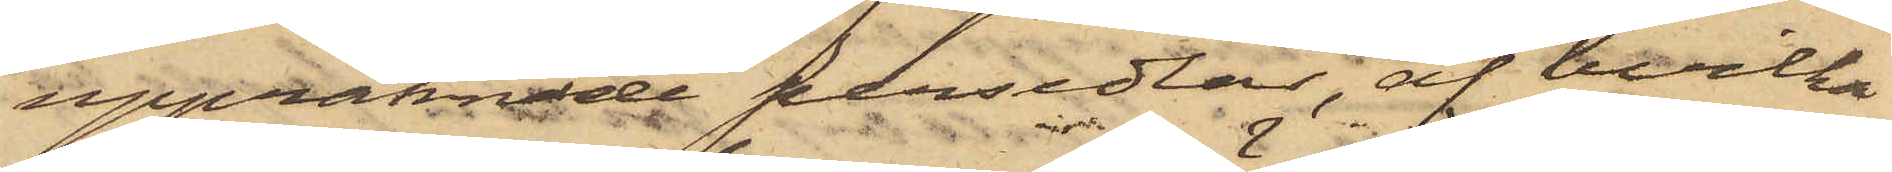uppräknade persedlar, af hvilka
